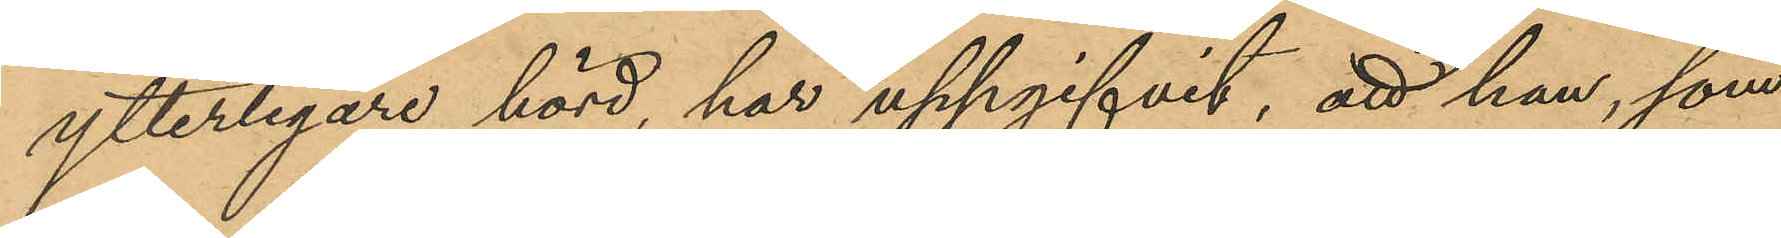ytterligare hörd, har uppgifvit, att han, som
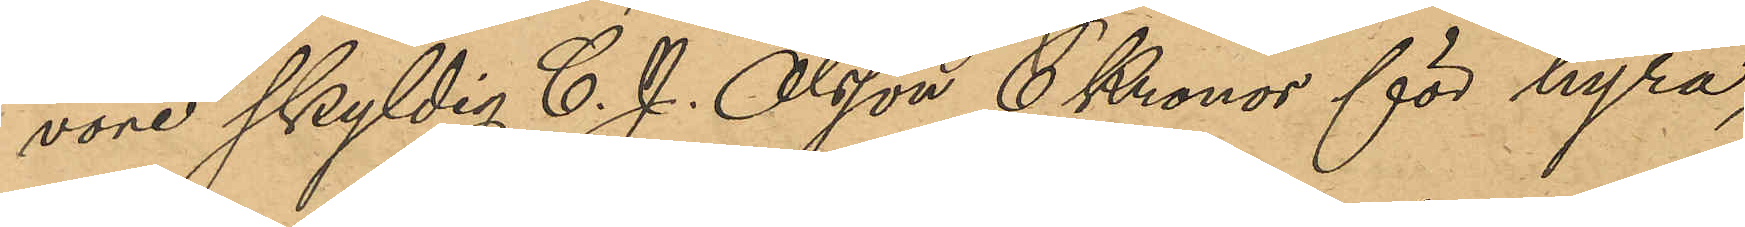vore skyldig C. J. Olsson 6 Kronor för hyra,
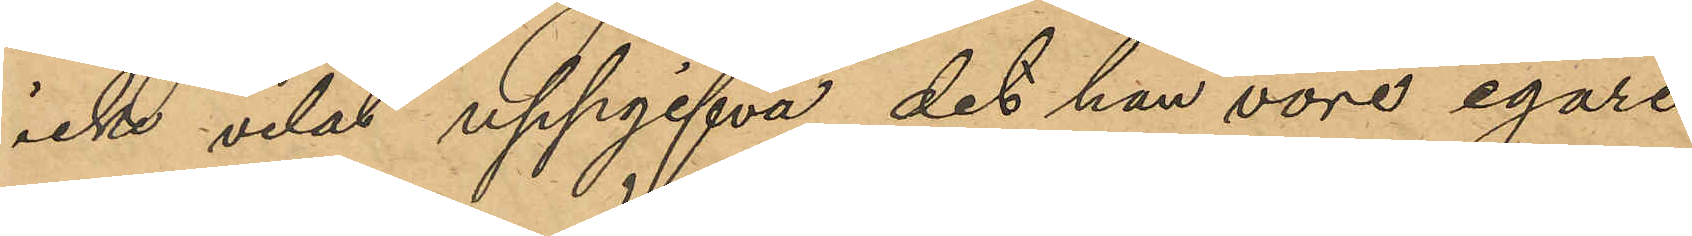icke velat uppgifva det han vore egare
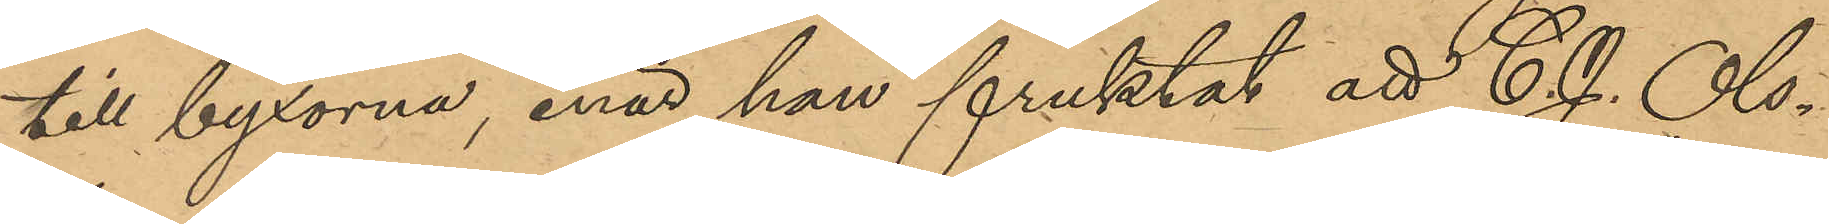till byxorna, enär han fruktat att C. J. Ols¬
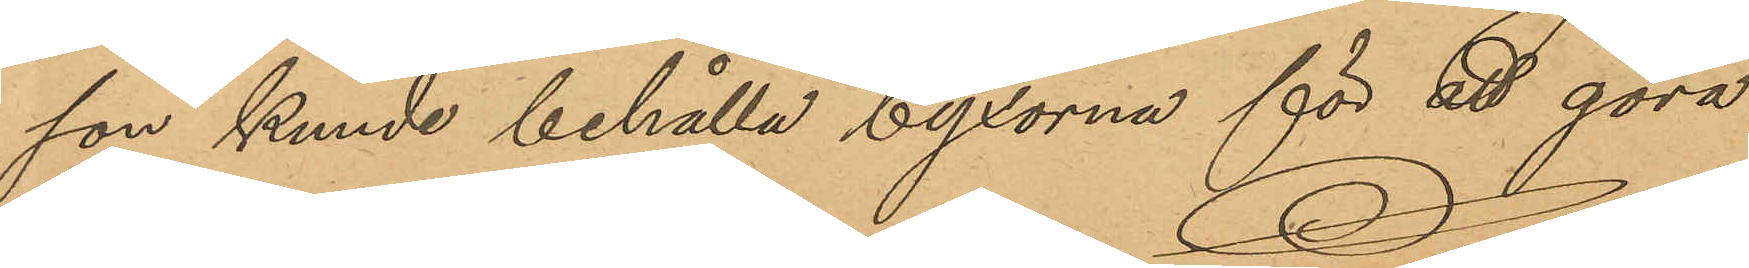son kunde behålla byxorna för att göra
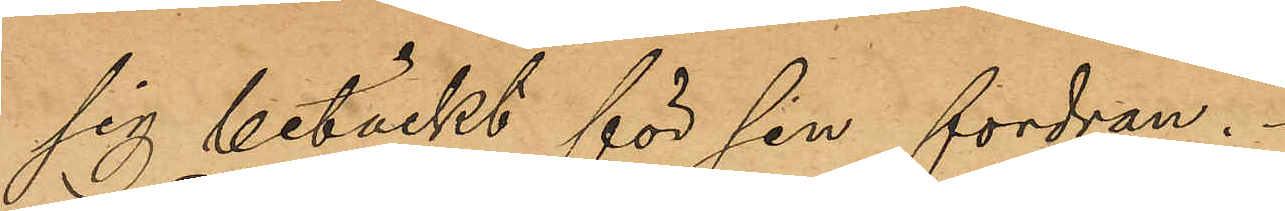sig betäckt för den fordran.
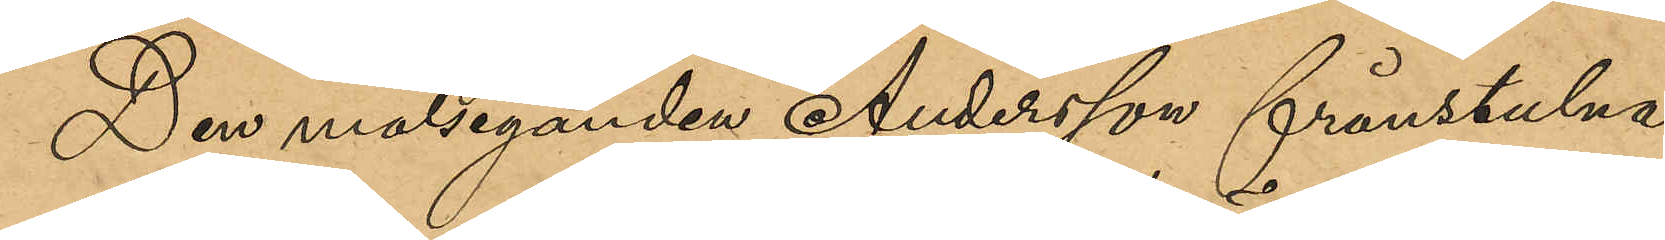Den målseganden Andersson frånstulna
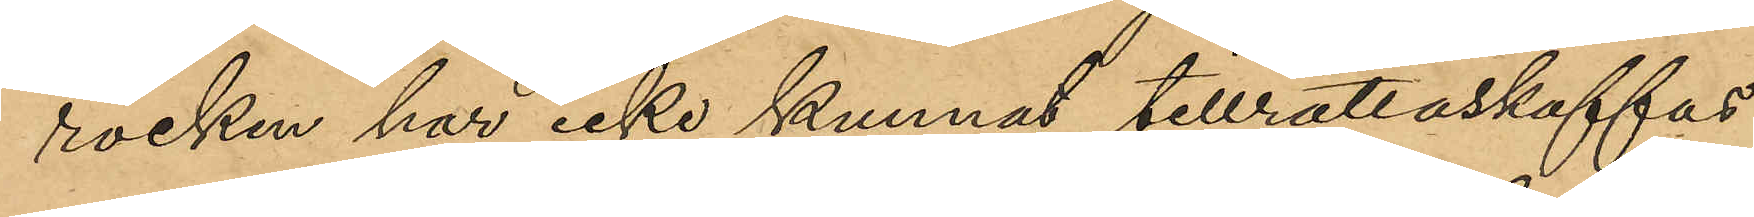rocken har icke kunnat tillrättaskaffas.
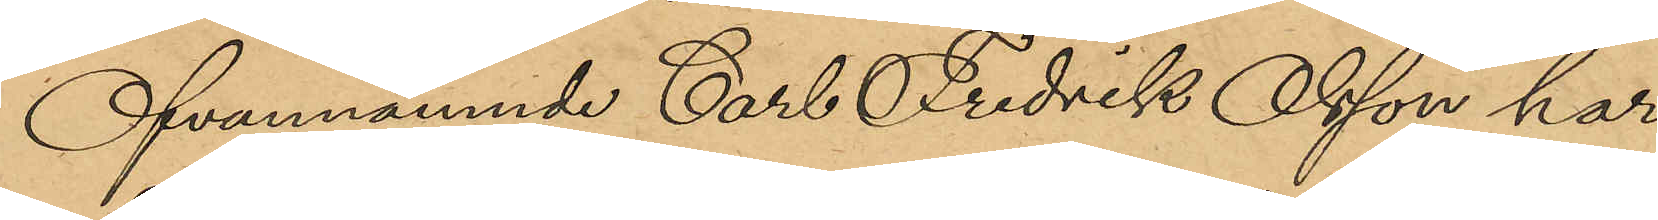Ofvannämnde Carl Fredrik Olsson har
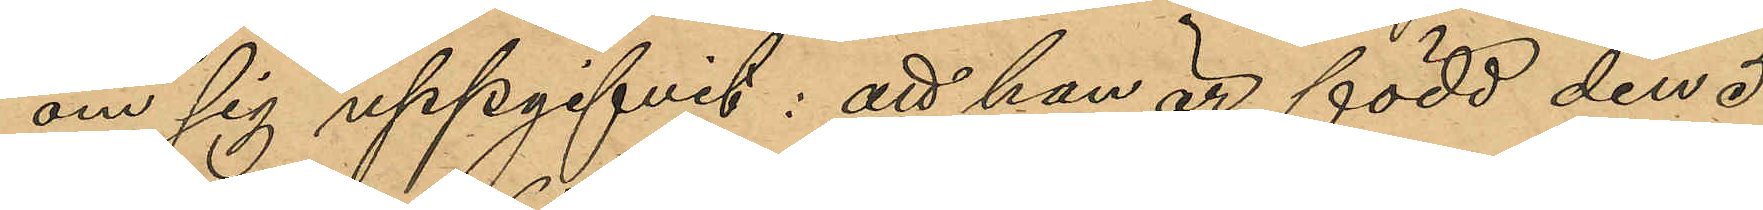om sig uppgifvit: att han är född den 5
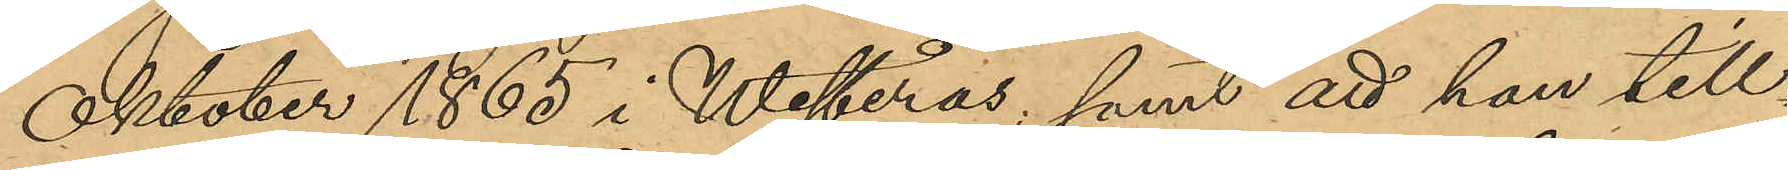Oktober 1865 i Westerås, samt att han till¬
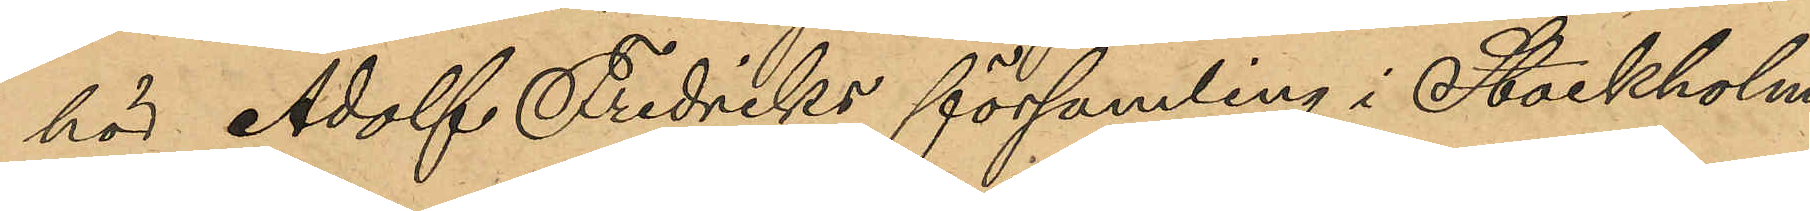hör Adolf Fredriks församling i Stockholm.
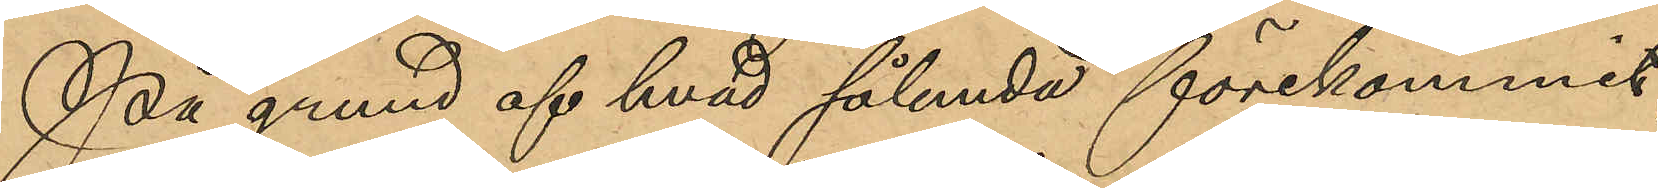På grund af hvad sålunda förekommit
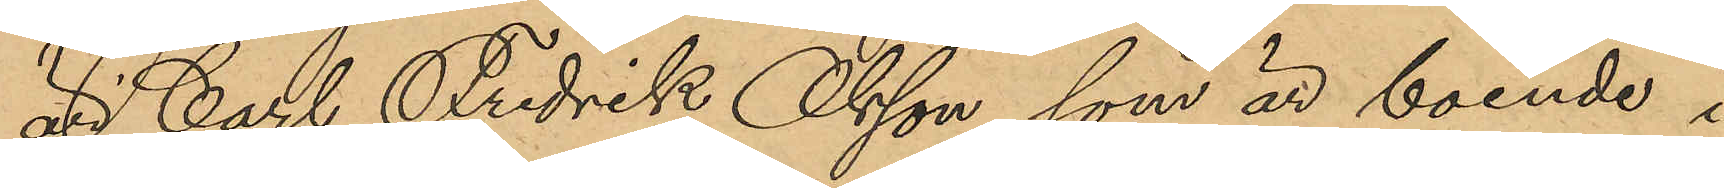är Carl Fredrik Olsson, som är boende i
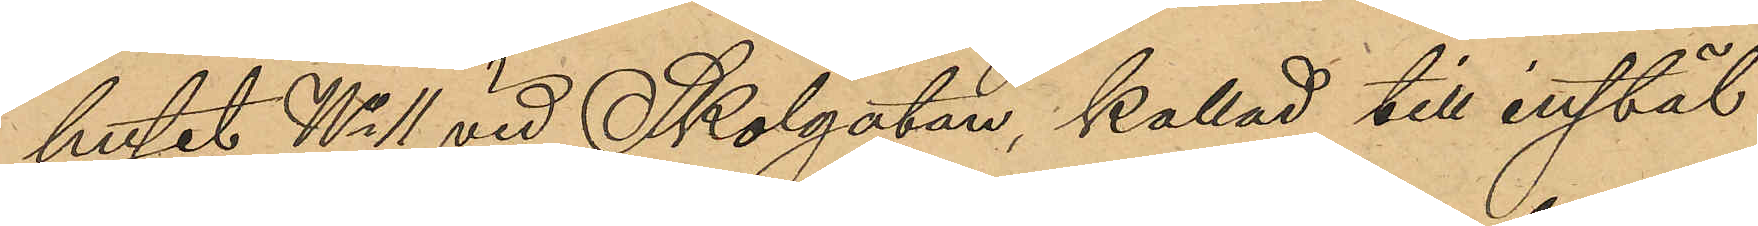huset No 11 vid Skolgatan kallad till instäl¬
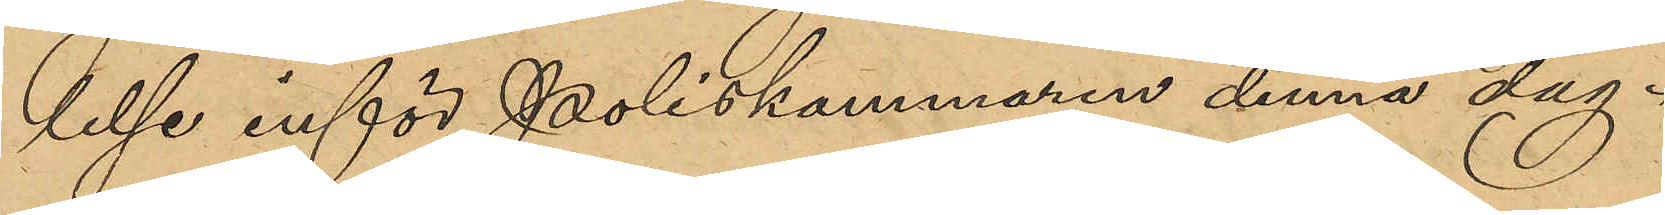lelse inför Poliskammaren denna dag.
